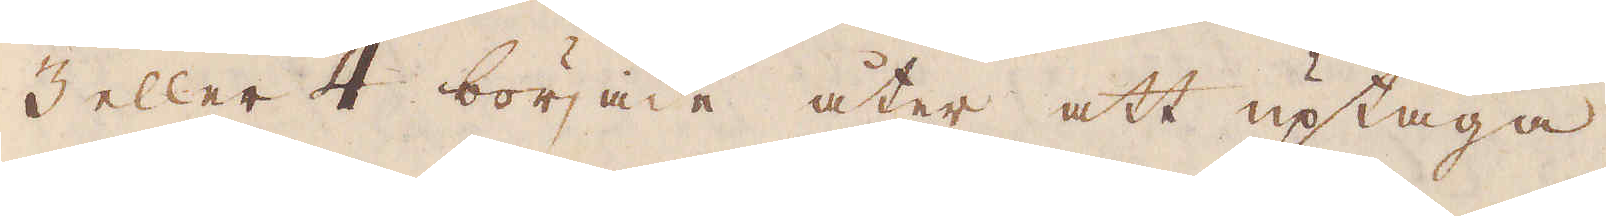3 eller 4 började åter att uptaga
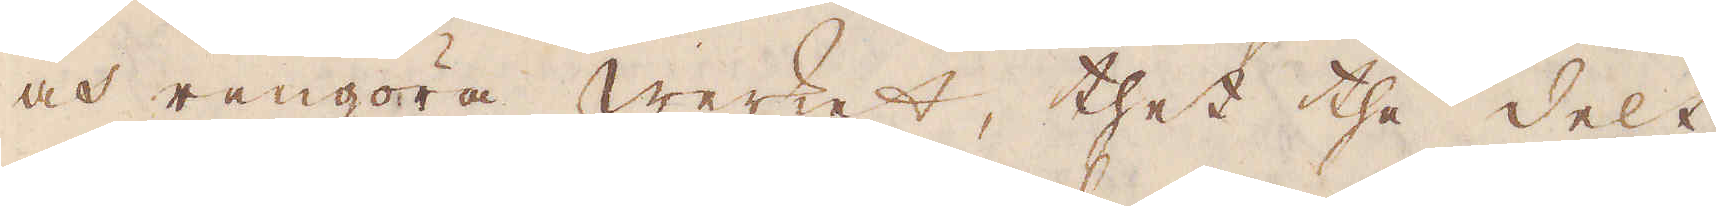och rengöra werket, thet the delt
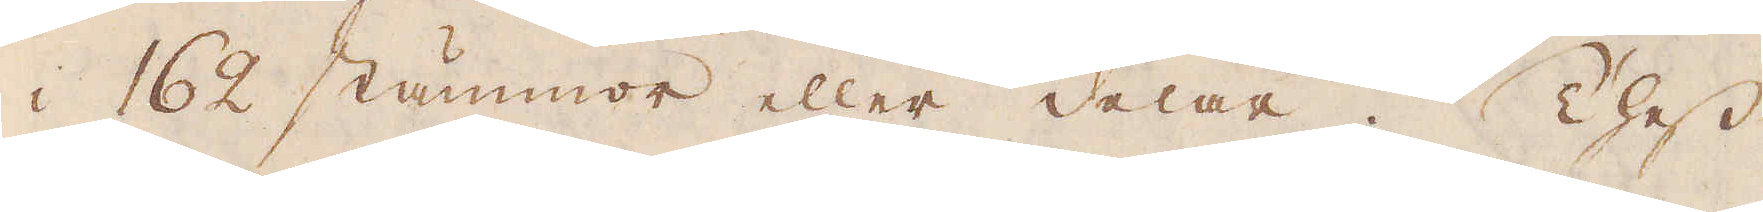i 162 stämmor eller delar. Thess
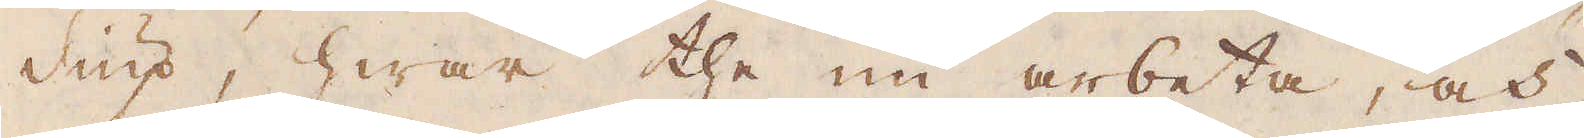diup, hwar the nu arbeta, och
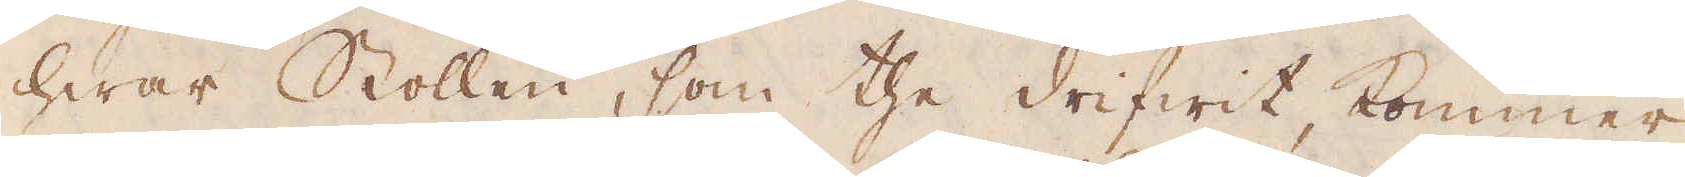hwar Stollen, som the drifwit, kommer
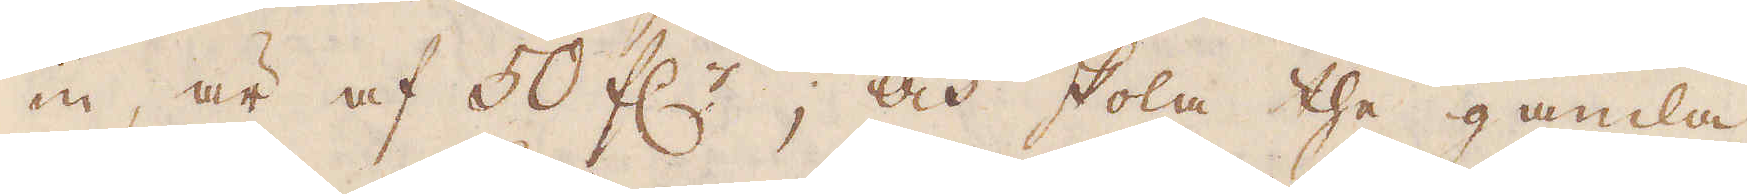in, är af 50 f:r; och skola the gamla
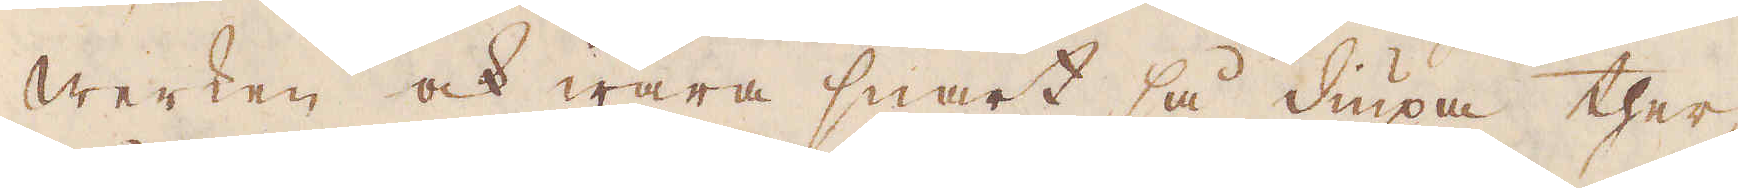Werken ock wara snart så diupa ther-
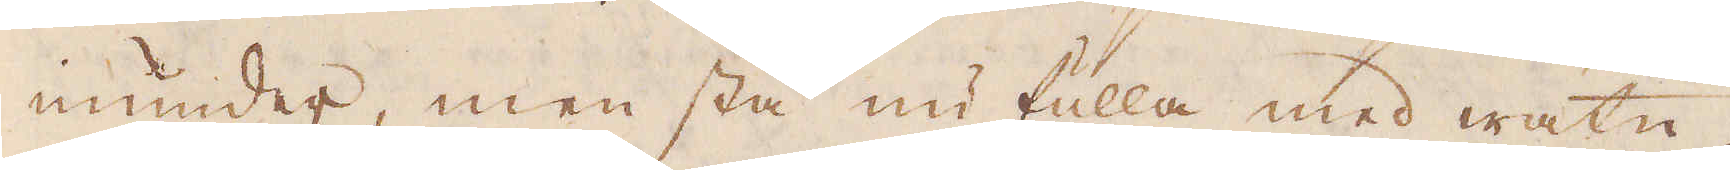inunder, men stå nu fulla med watn,
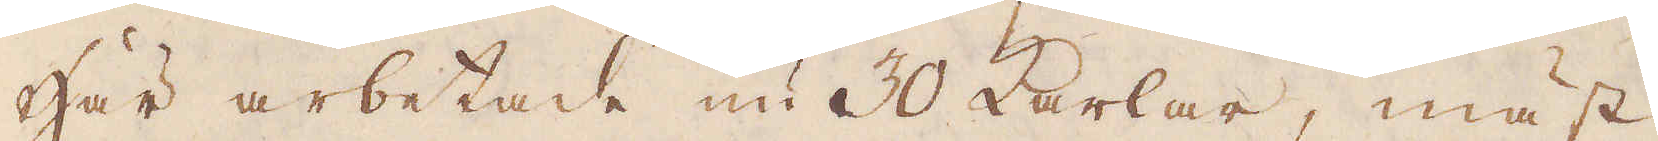Här arbetade nu 30 karlar, mäst
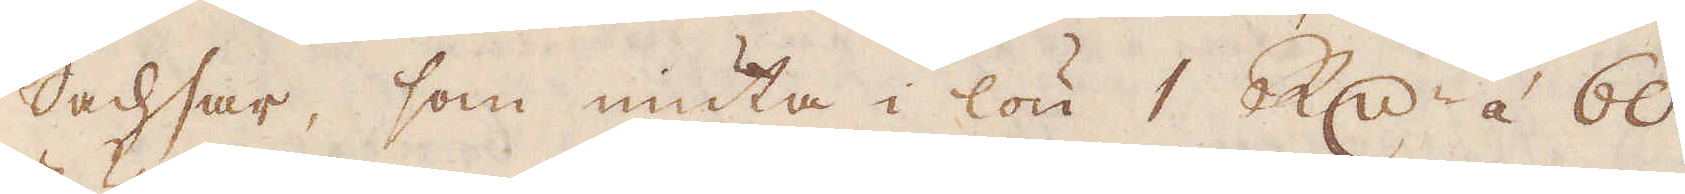Sachsar, som niuta i lön 1 R:dr á 60
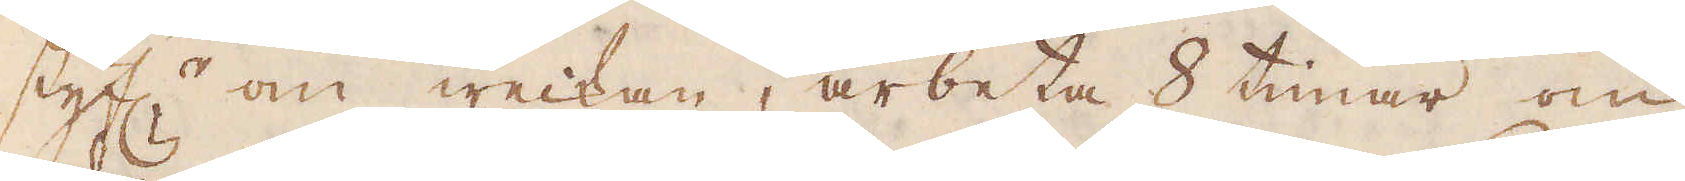styf:r om weckan, arbeta 8 timar om
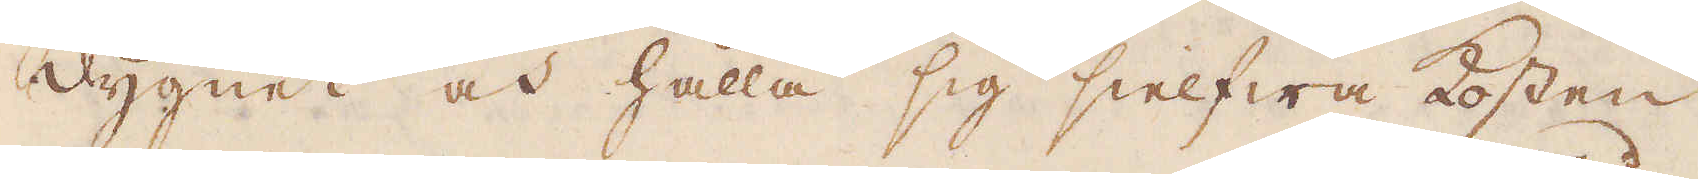dygnet och hålla sig sielfwa kosten
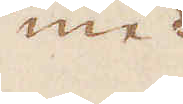med
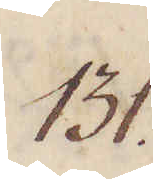131.
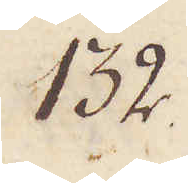132.
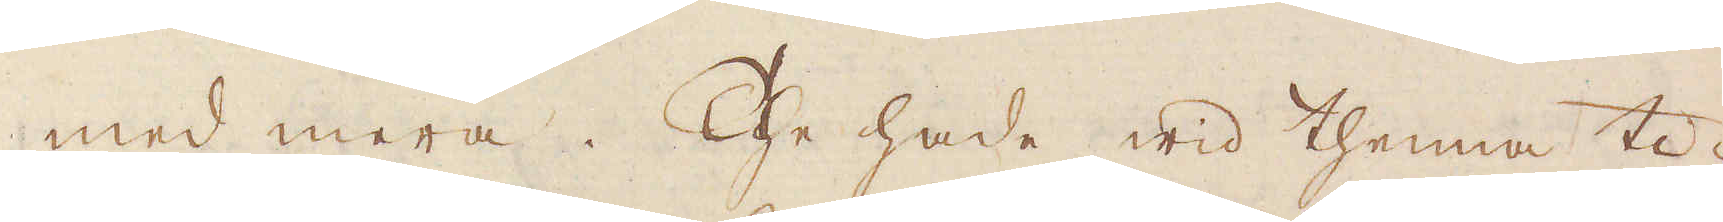med mera. The hade wid thenna ti-
